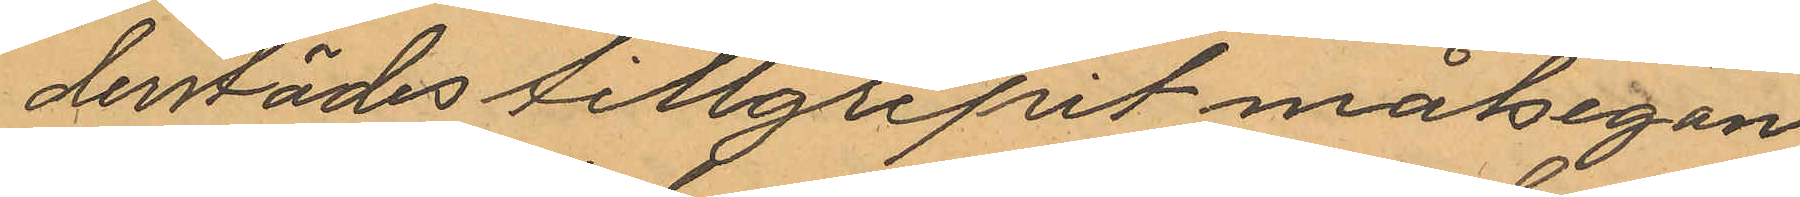derstädes tillgripit målsegan¬
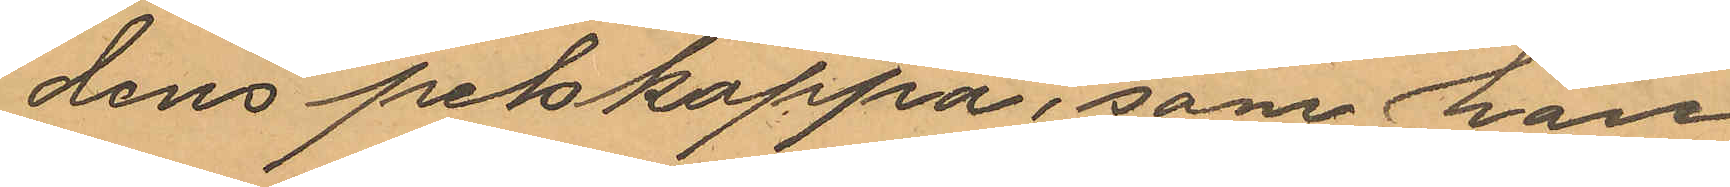dens pelskappa, som han
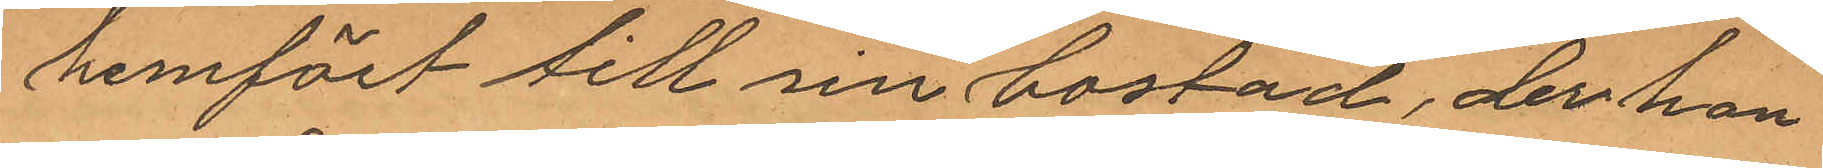hemfört till sin bostad, der han
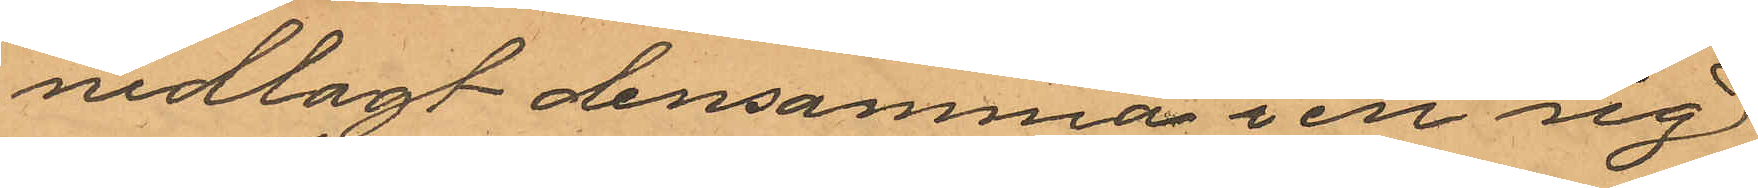nedlagt densamma i en sig
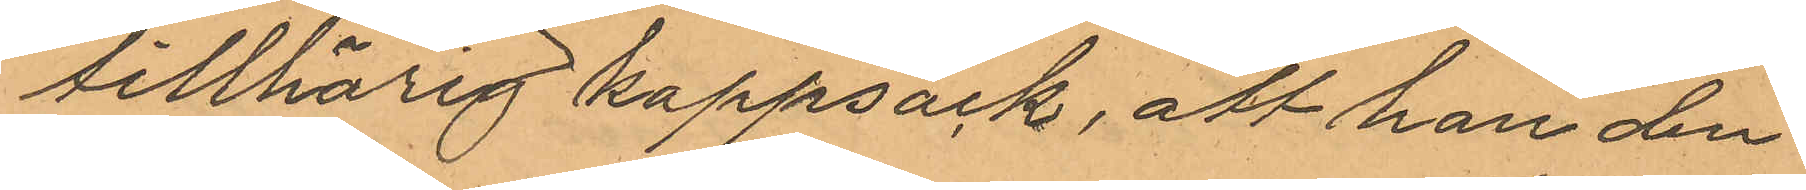tillhörig kappsäck, att han den
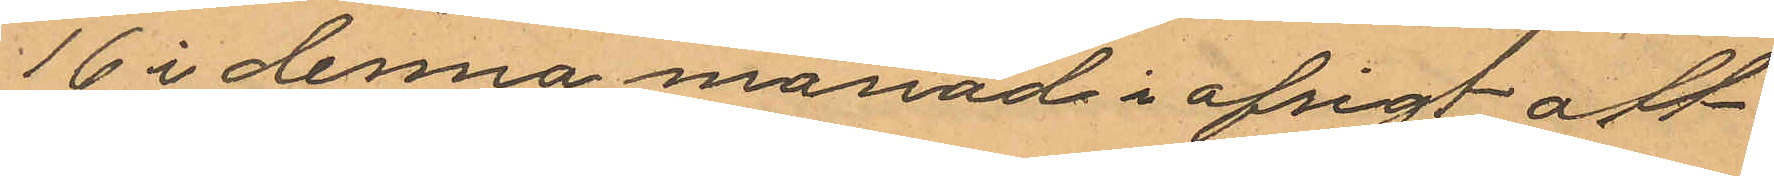16 i denna månad i afsigt att
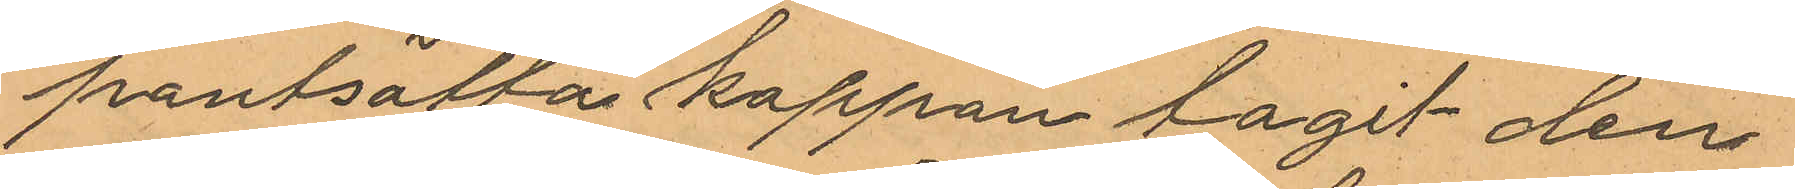pantsätta kappan tagit den¬
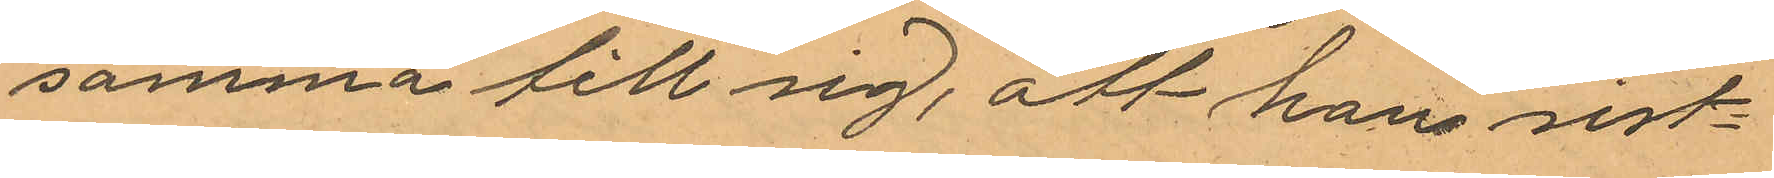samma till sig, att hans sist
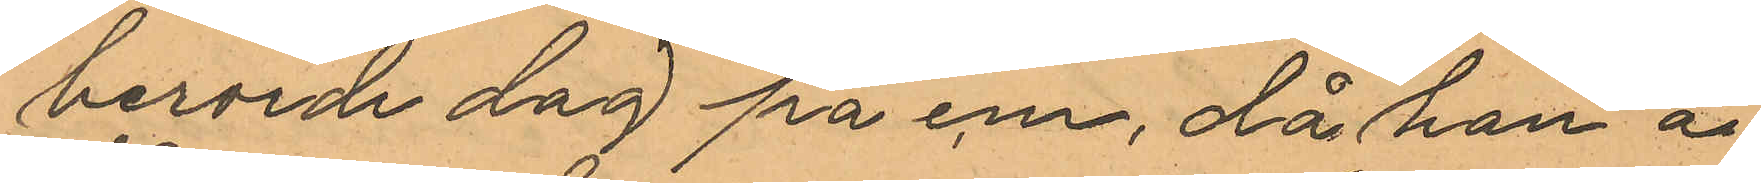berörde dag på em, då han å
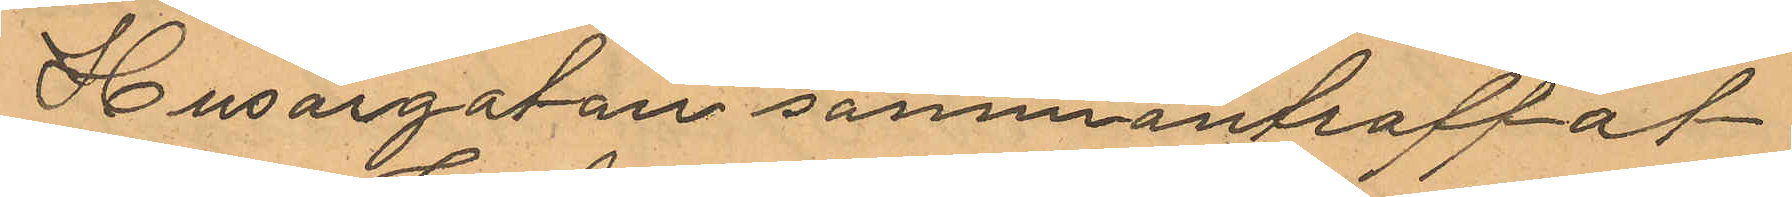Husargatan sammanträffat
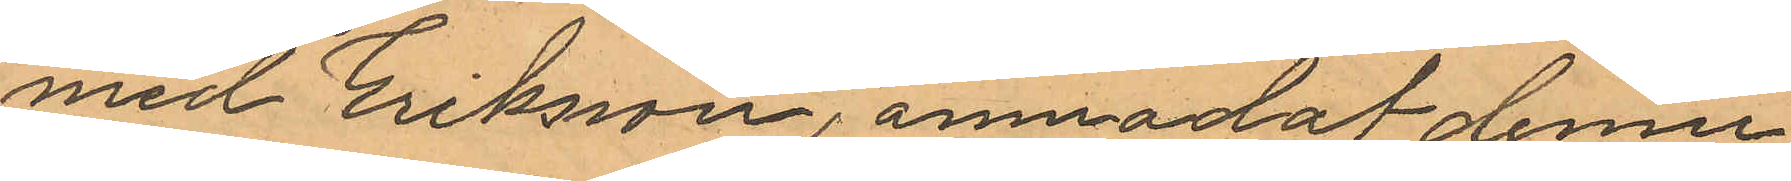med Eriksson, anmodat denne
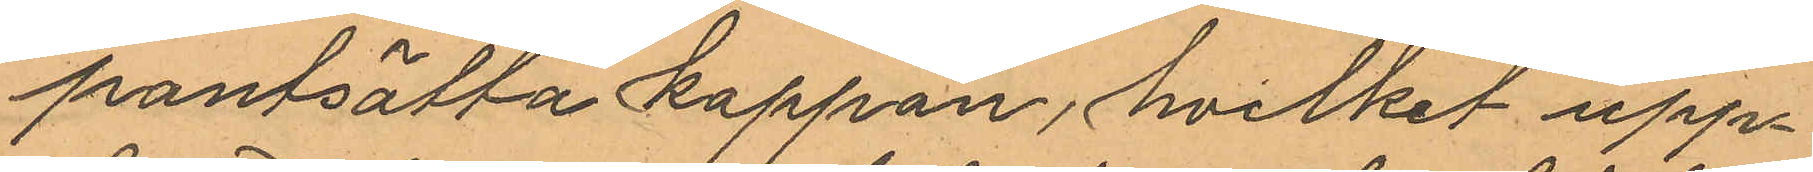pantsätta kappan, hvilket upp¬
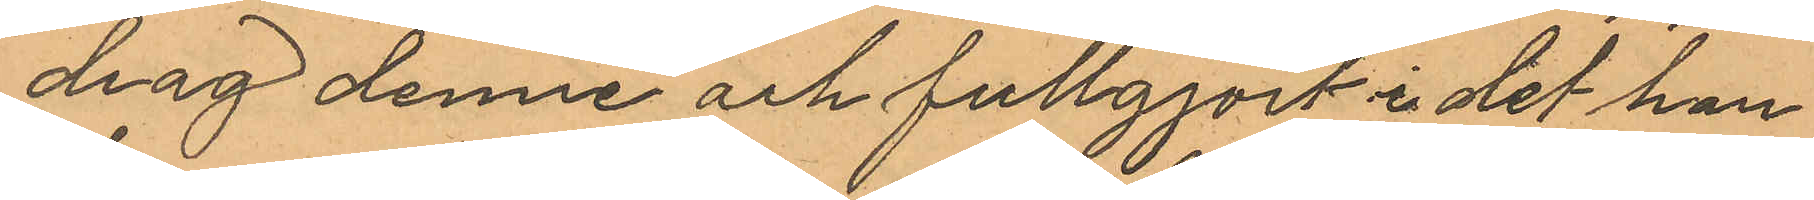drag denne ock fullgjort i det han
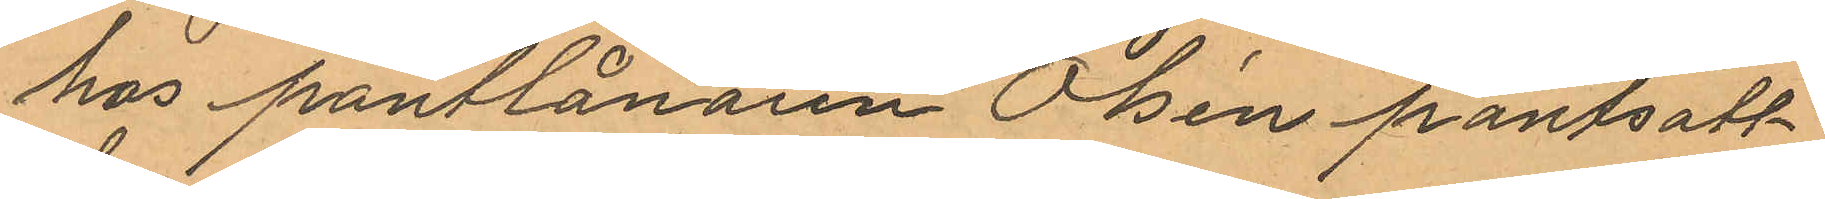hos pantlånaren Olsén pantsatt
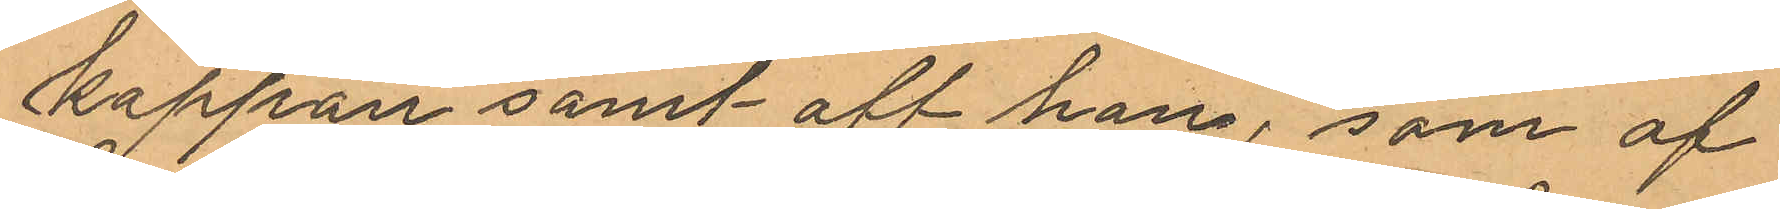kappan samt att han, som af
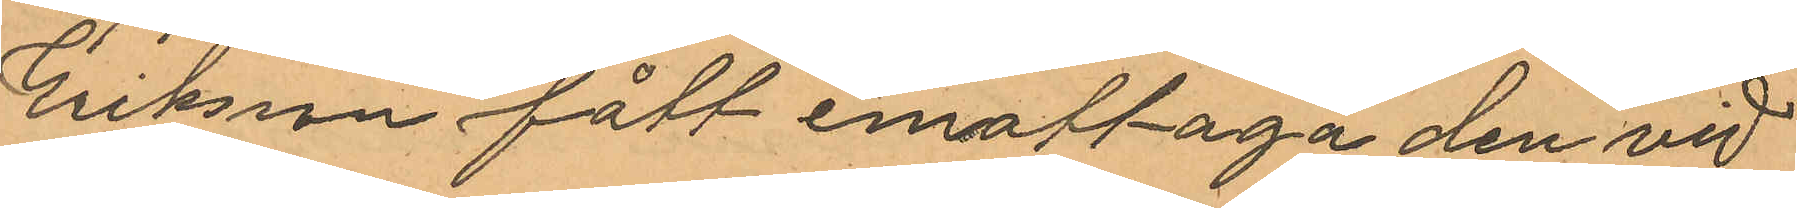Erikssn fått emottaga den vid
